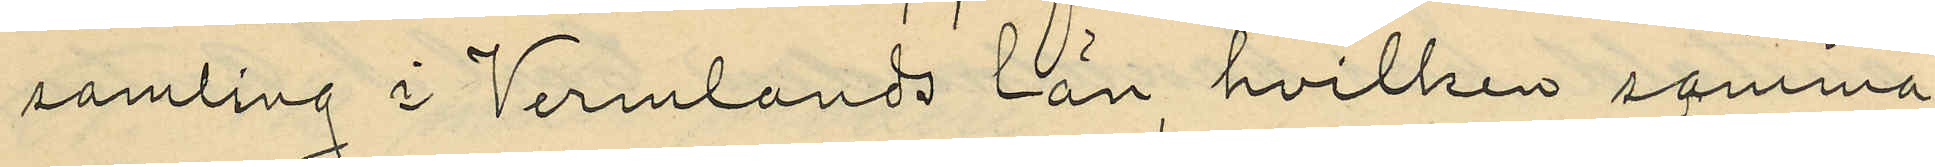samling i Vermlands län hvilken samma
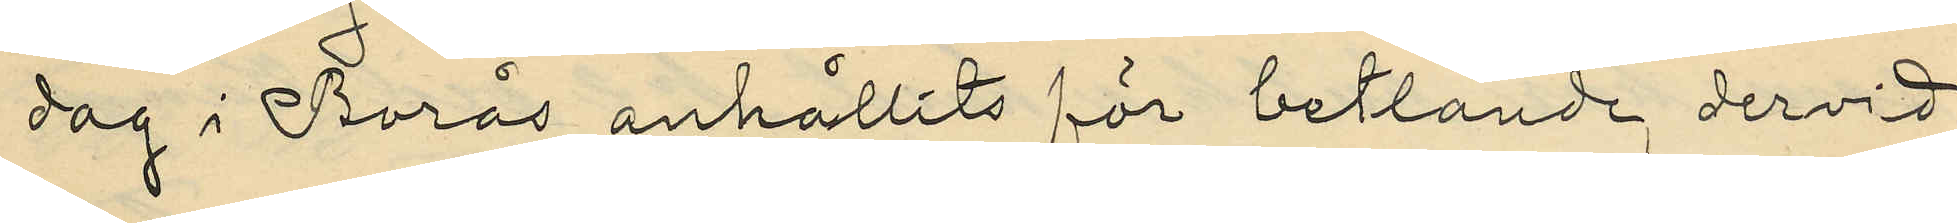dag i Borås anhållits för betlande dervid
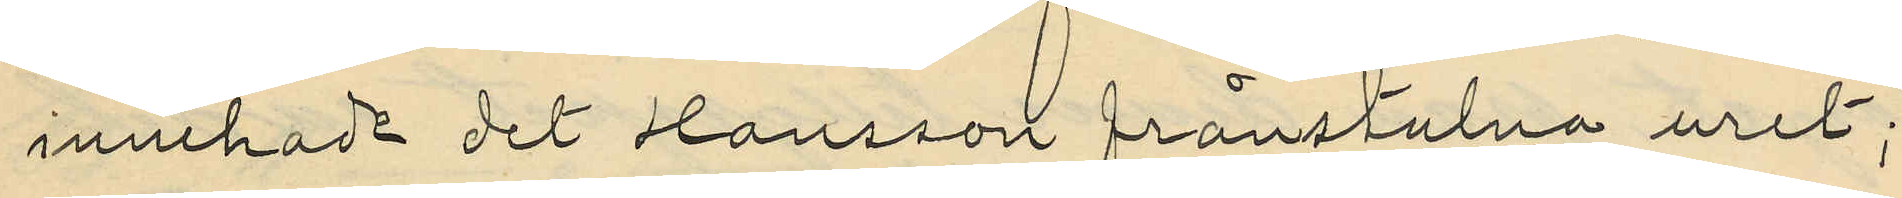innehadt det Hansson frånstulna uret;
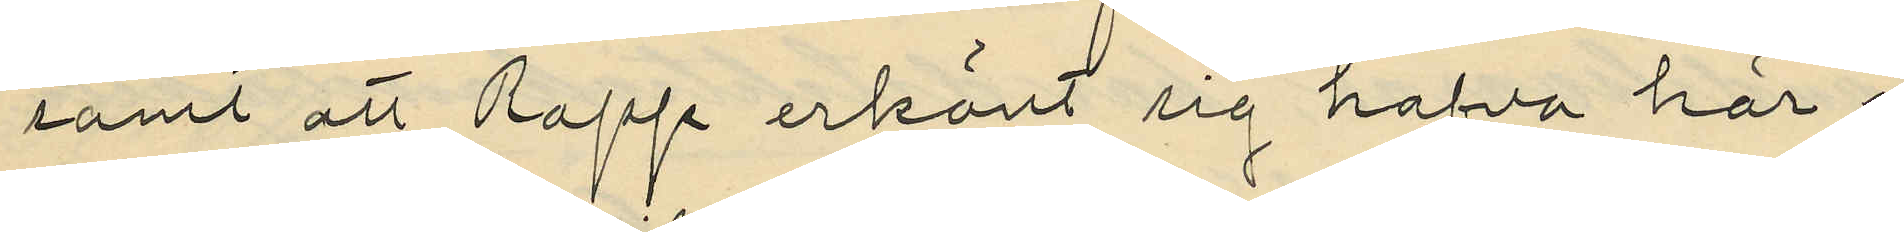samt att Rapp erkänt sig hafva här i
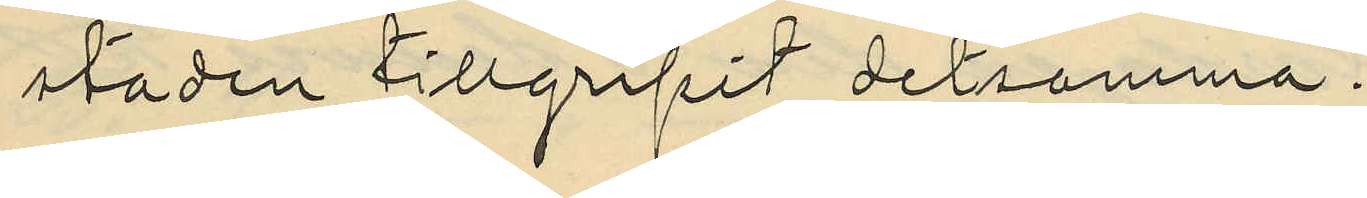staden tillgripit detsamma.
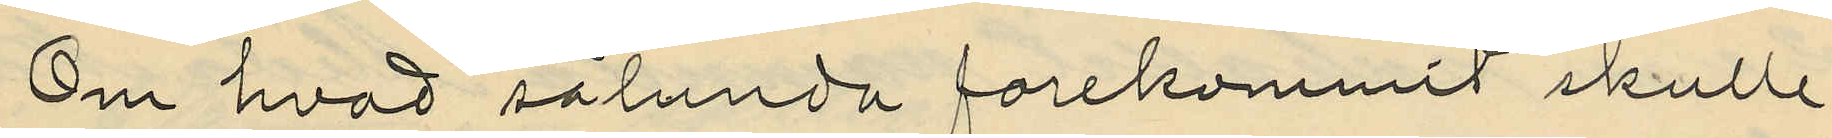Om hvad sålunda förekommit skulle
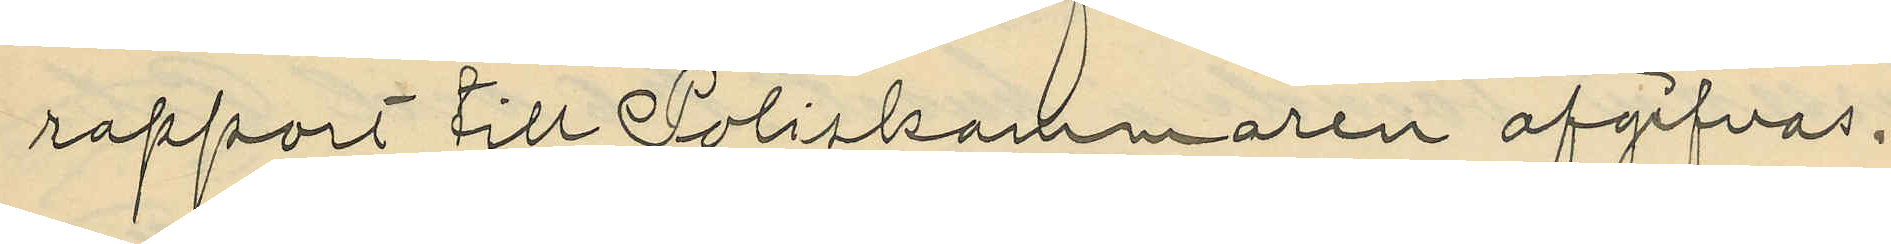rapport till Poliskammaren afgifvas.
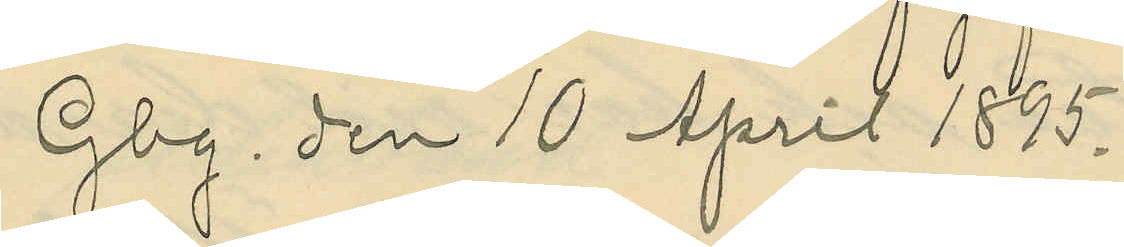Gbg. den 10 April 1895.
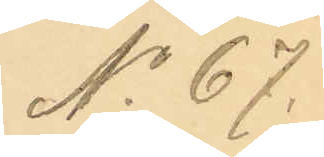No 67.
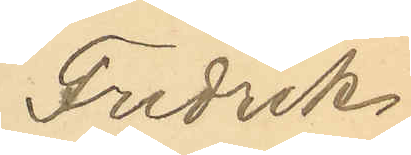Fredrik
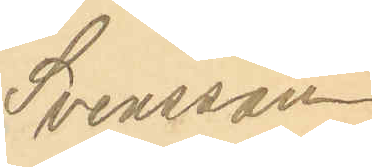Svensson
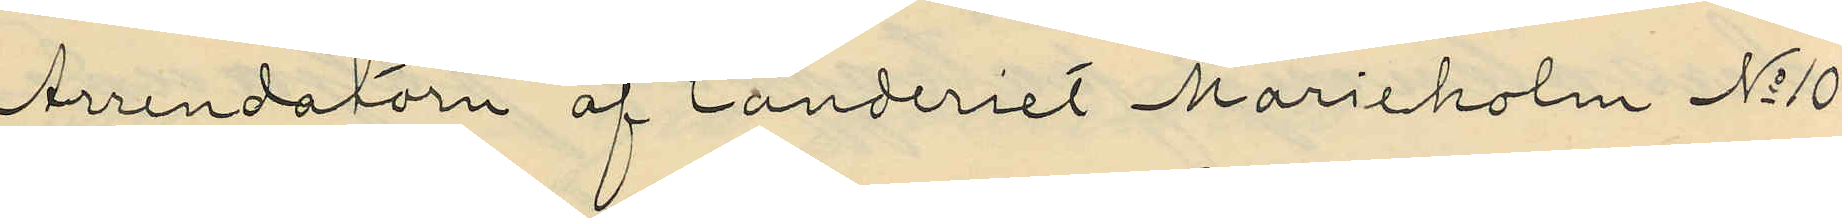Arrendatörn af landeriet Marieholm No 10
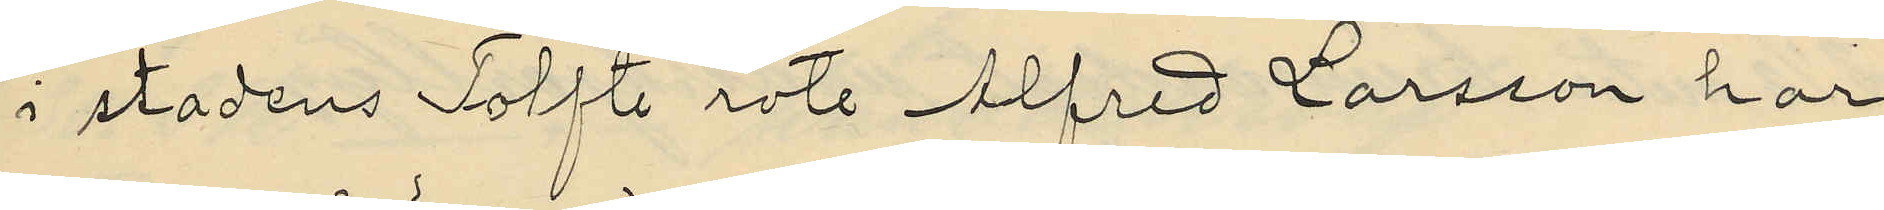i stadens Tolfte rote Alfred Larsson har
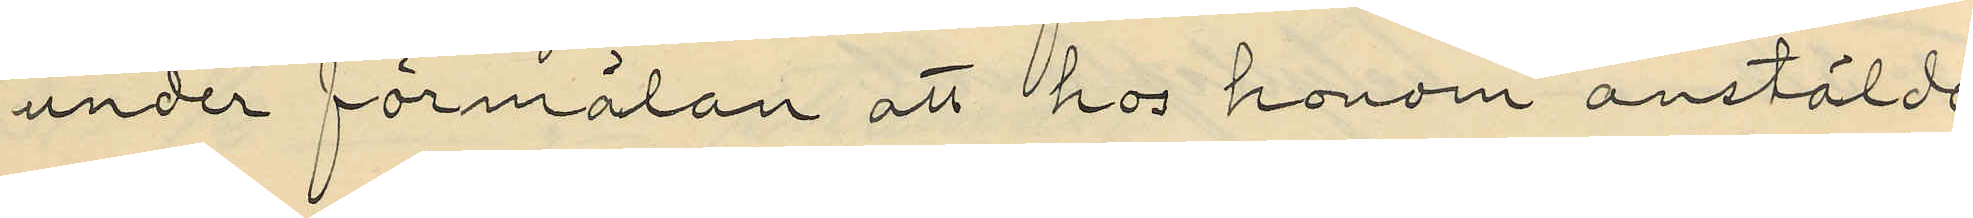under förmälan att hos honom anstälde
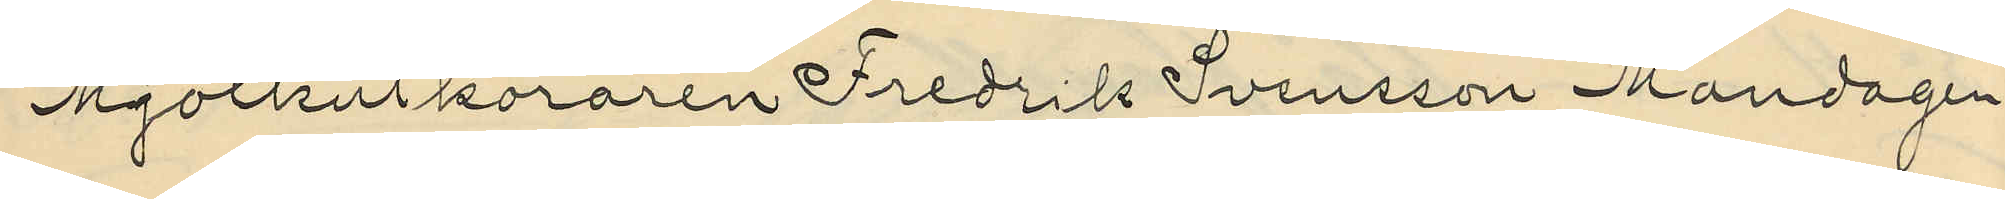Mjolkutköraren Fredrik Svensson Mandagen
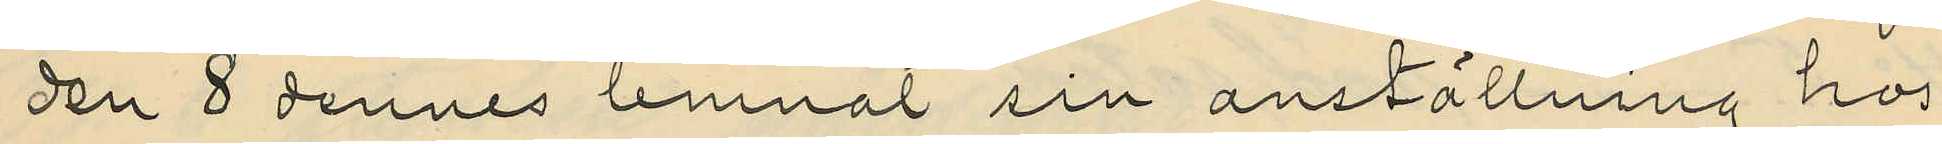den 8 dennes lemnat sin anställning hos
